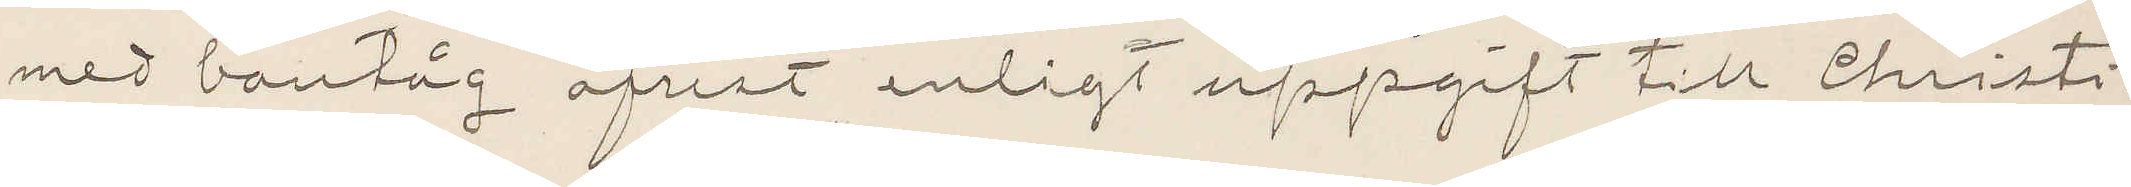med bantåg afrest enligt uppgift till Christi¬
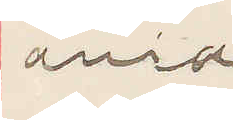ania.
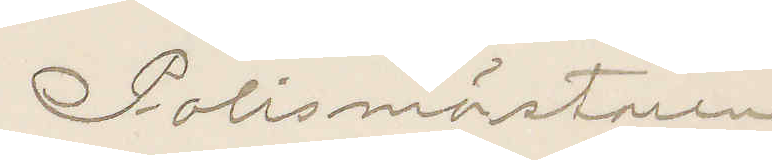Polismäsatren
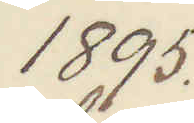1895.
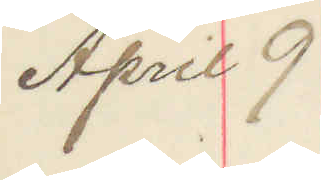April 9
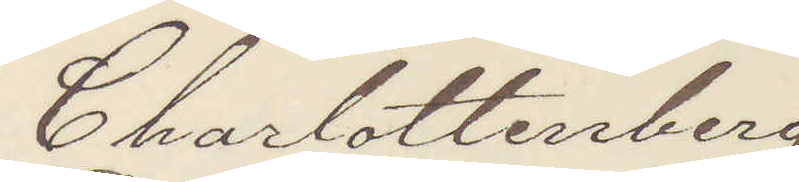Charlottenberg
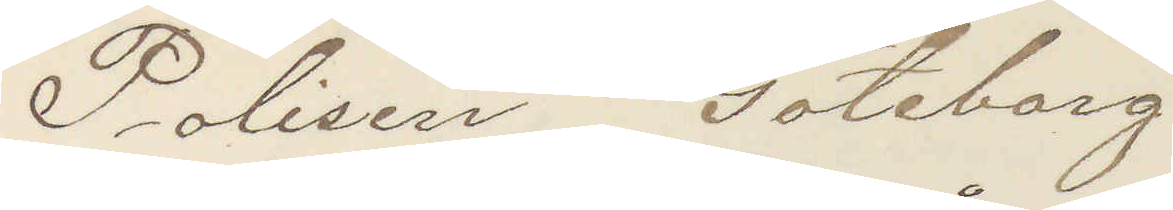Polisen Göteborg.
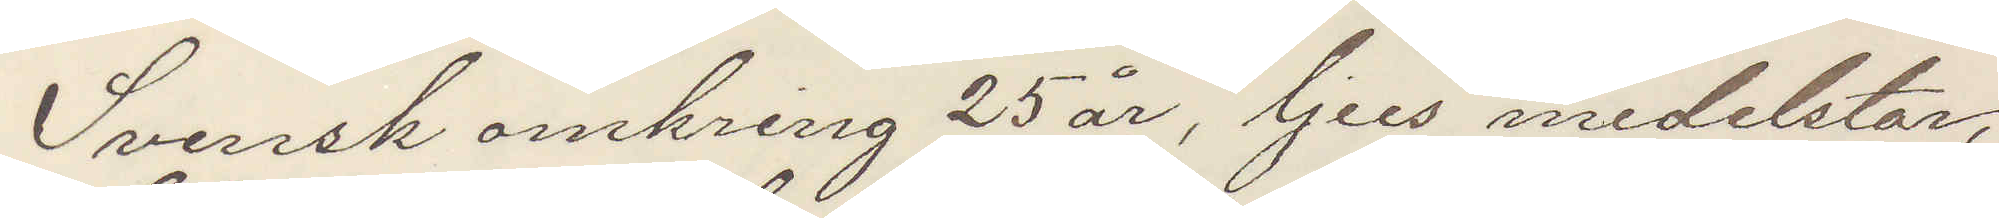Svensk omkring 25 år, ljus medelstor,
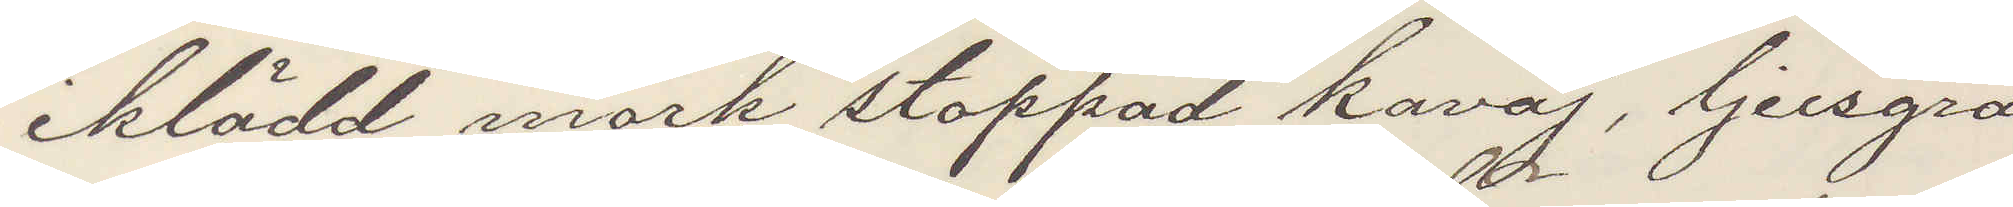iklädd mörk stoppad kavaj, ljusgrå
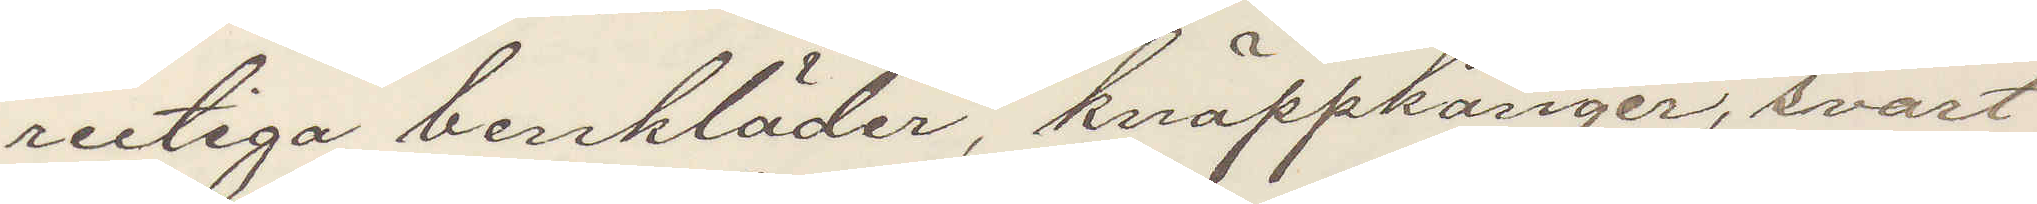rutiga benkläder, knäppkänger, svart
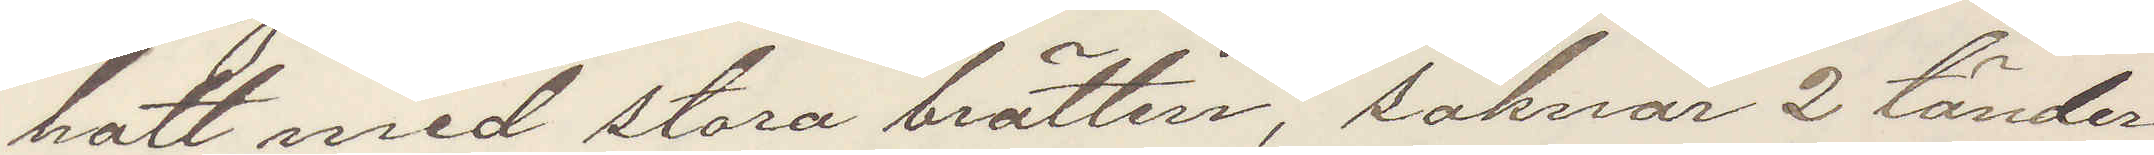hatt med stora brätten, saknar 2 tänder
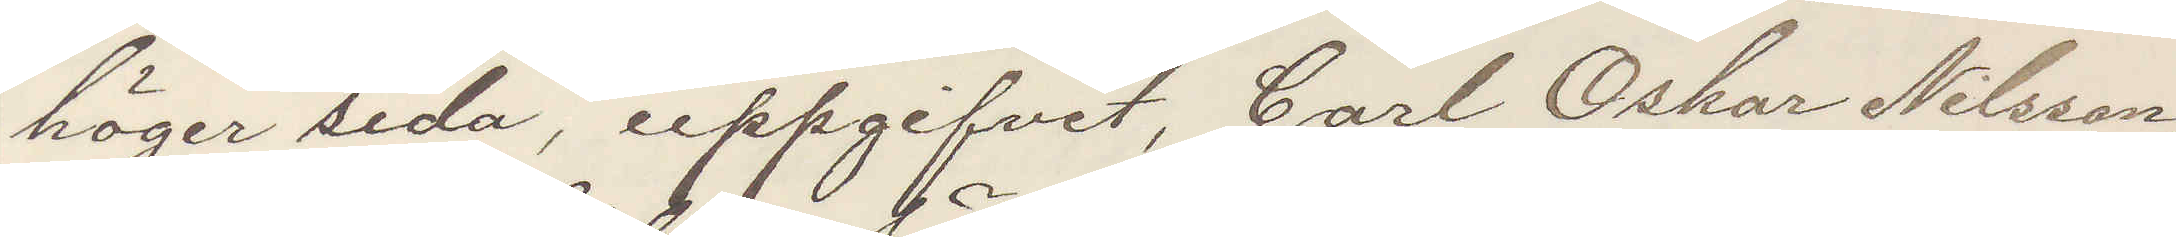höger sida, uppgifvet Carl Oskar Nilsson,
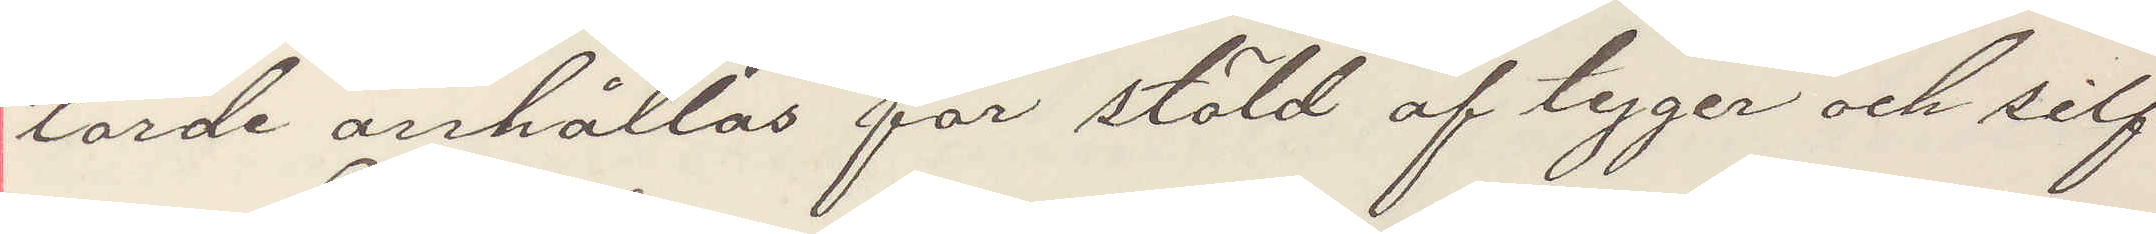torde anhållas för stöld af tyger och silf¬
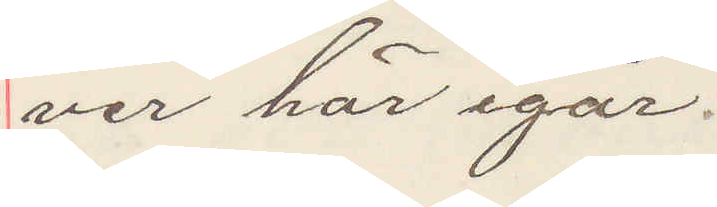ver här igår.
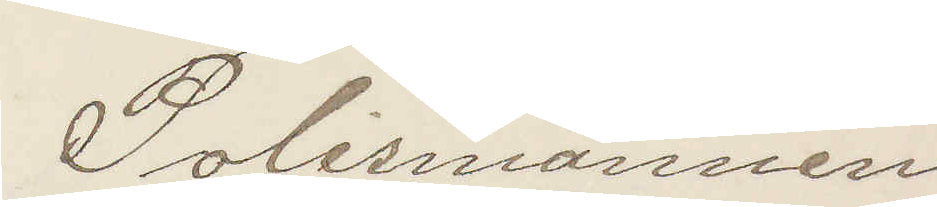Polismannen.
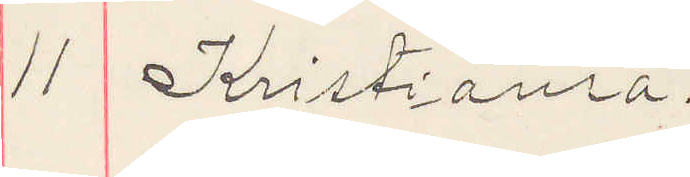11 Kristiania.
